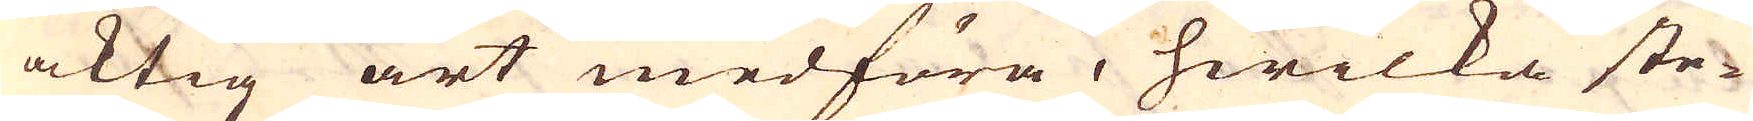aktig art medföra, hwilka ste-
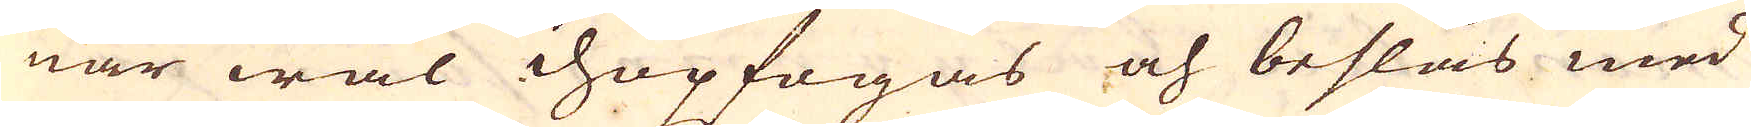nar wäl ihopfogas och beslås med
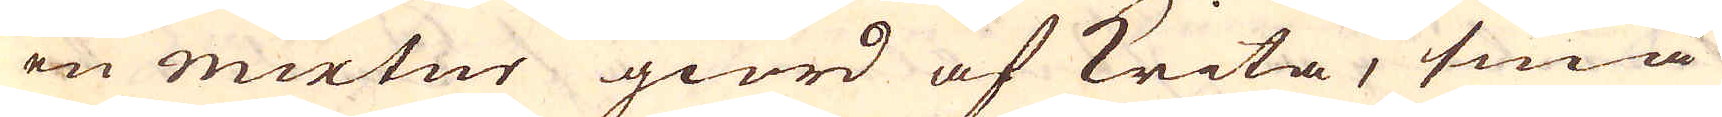en mixtur giord af krita, små
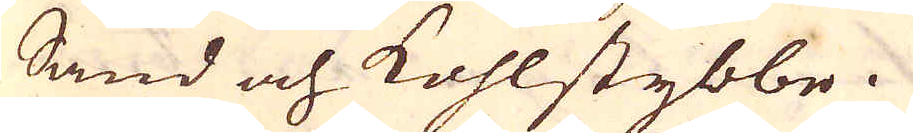Sand och kohlstybbe.
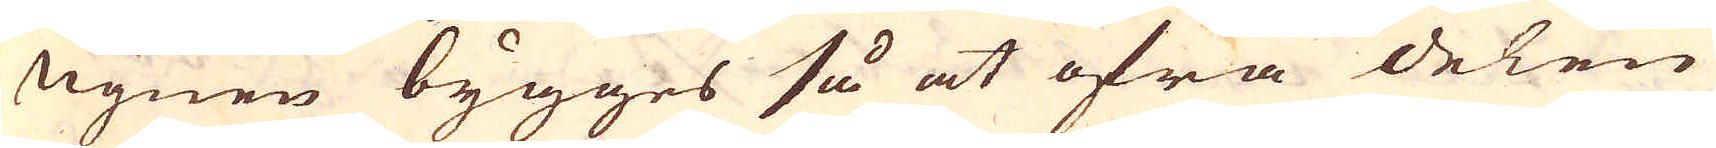Ugnen bygges så at öfra delen
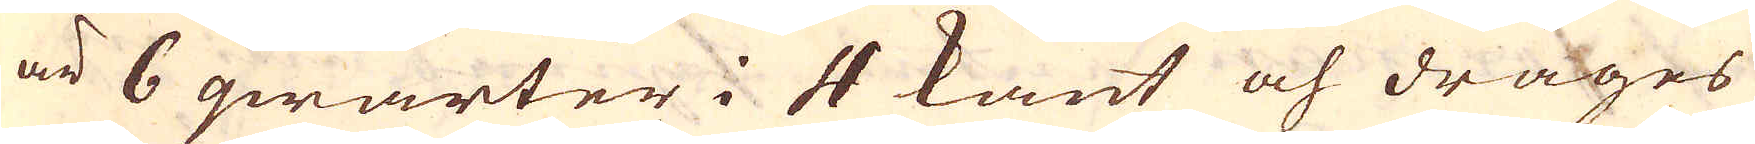är 6 qwarter i 4 kant och drages
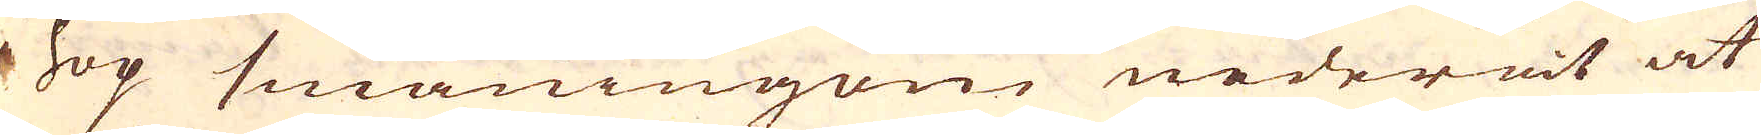i hop småningom nederåt at
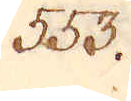553.
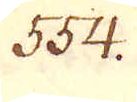554.
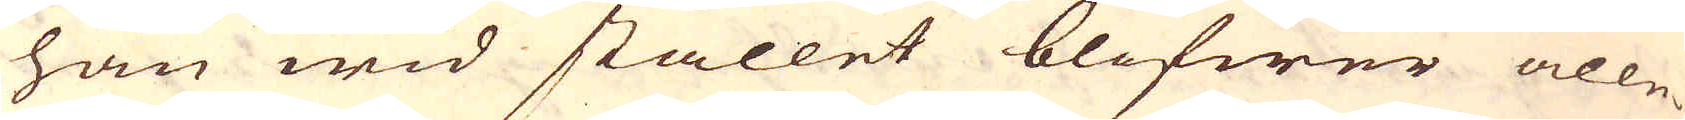han wid stället blifwer alle-
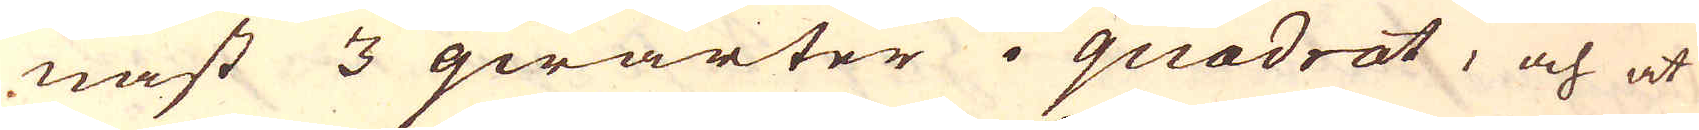nast 3 qwarter i quadrat, och at
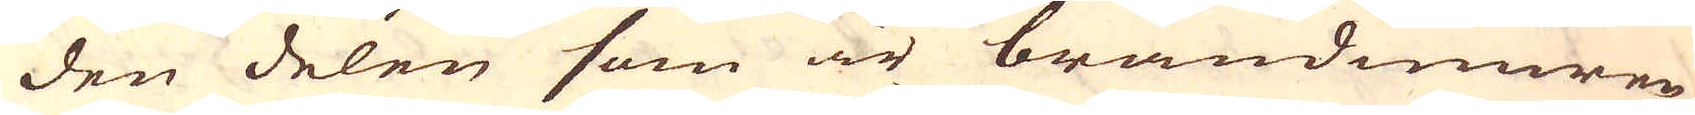den delen som är brandmuren
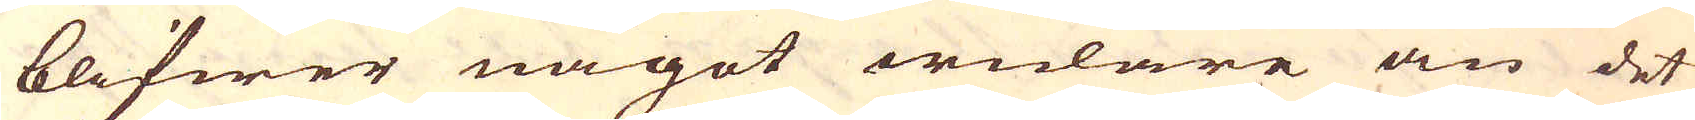blifwer något widare än det
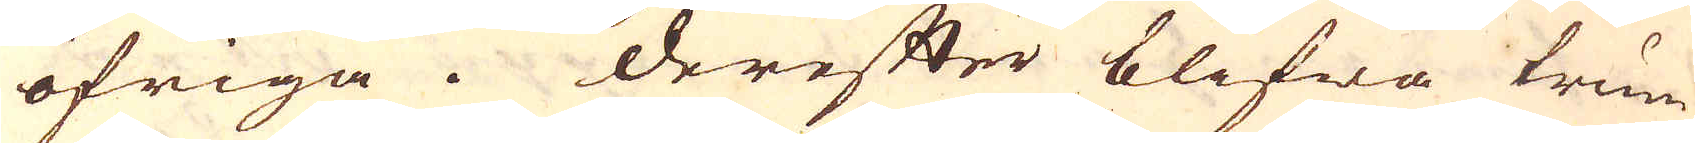öfriga. Derefter blifwa trum-
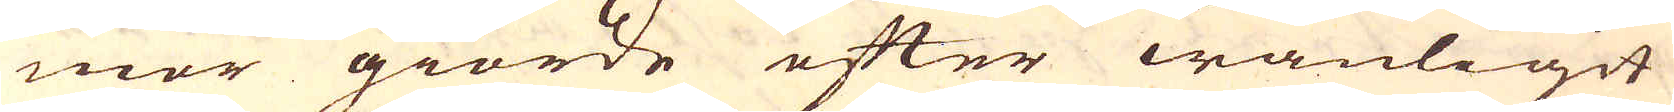mor giorde efter wanligit
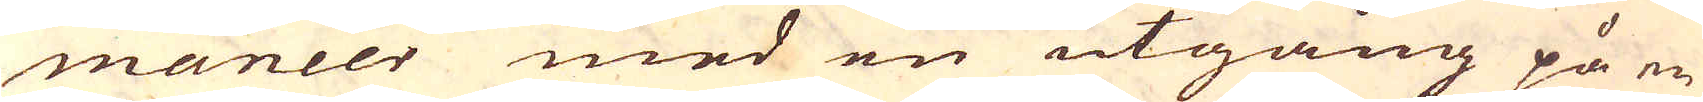maneer med en utgång på en
